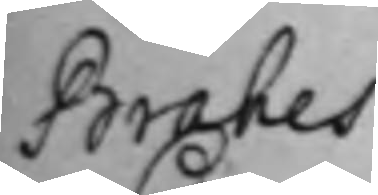Brahes
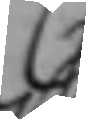C
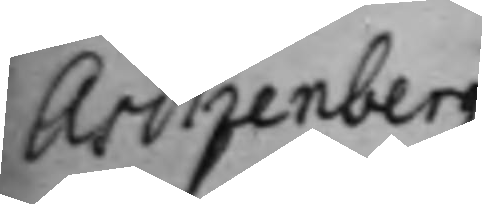Aschenbergs
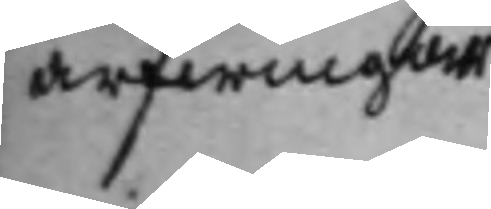arfwingar
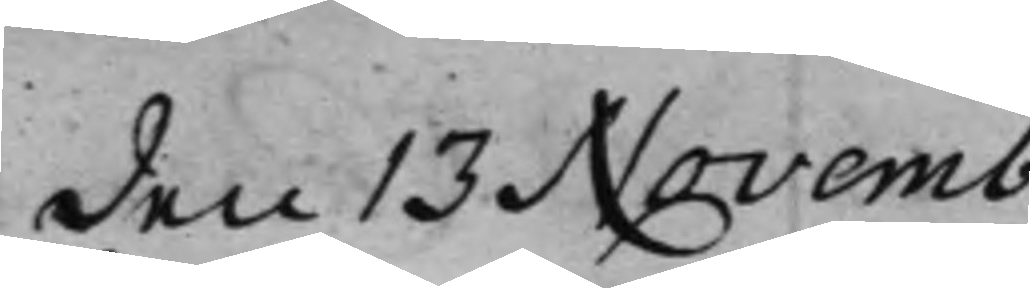den 13 Novemb:
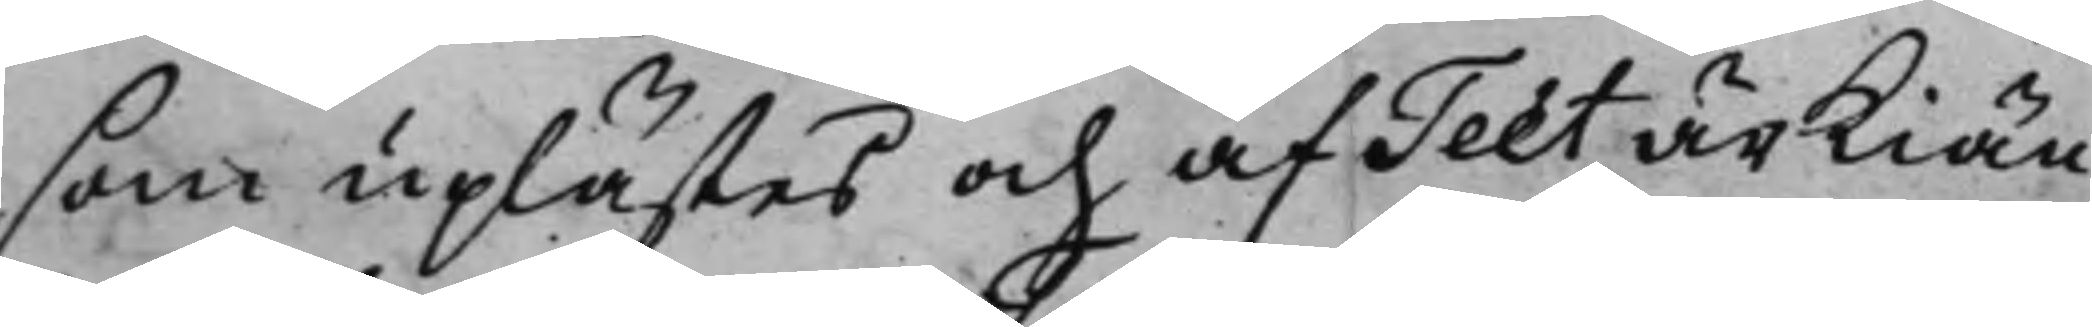som uplästes och af Teet ärkiän¬
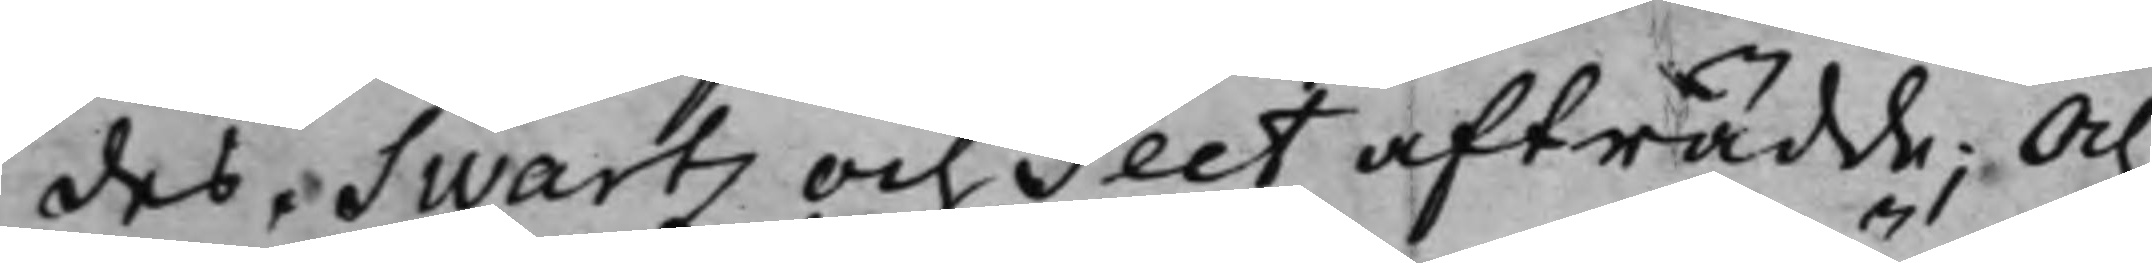des, Swartz och Teet afträdde; Och
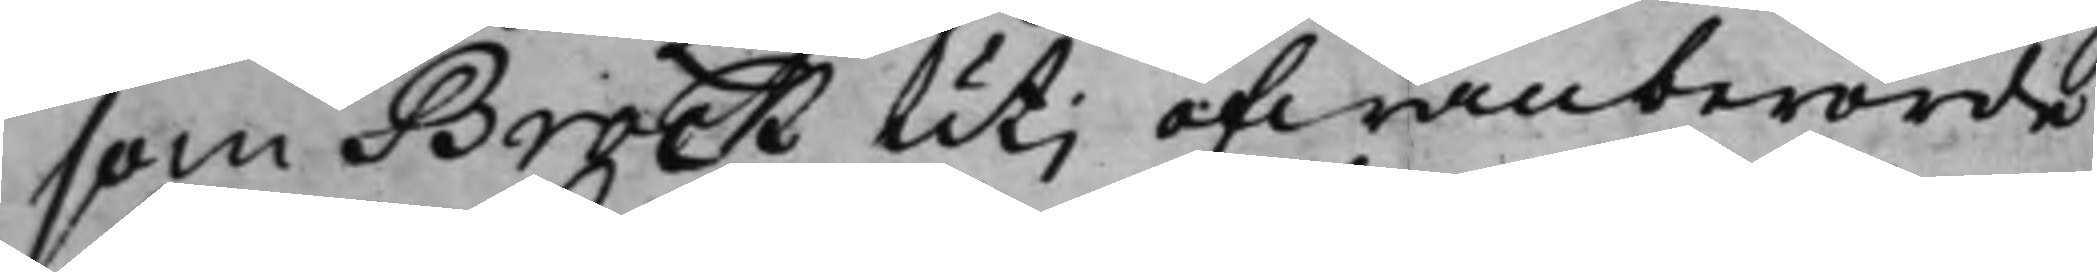som Brock utj ofwanberörde
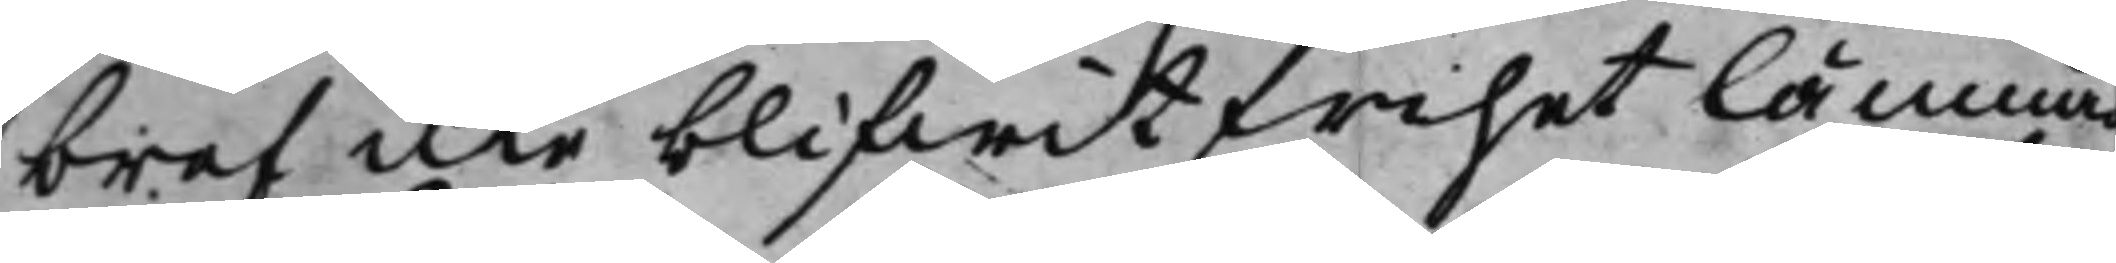bref icke blifwit Frihet lämnad
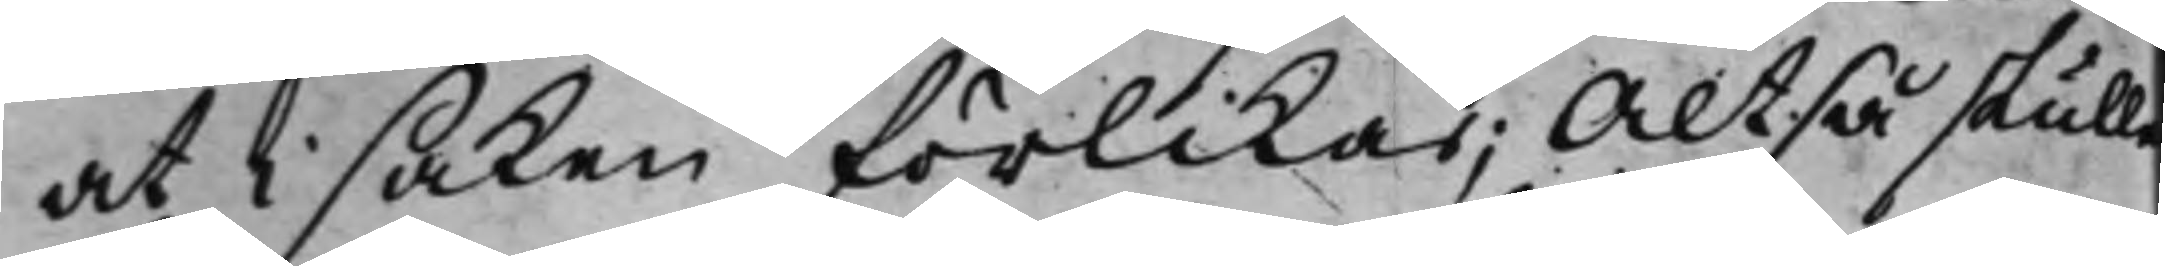at i saken förlikas; Altså skulle
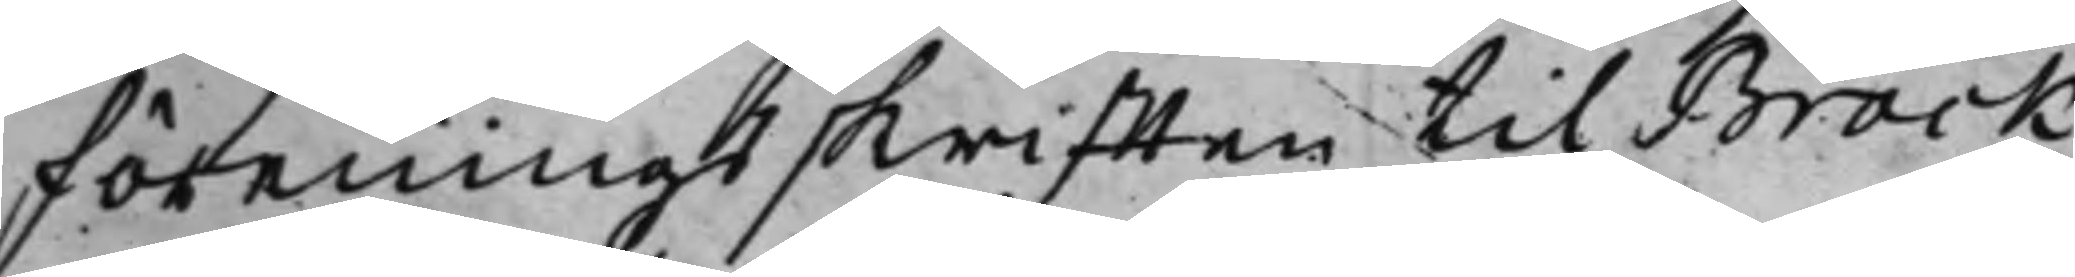föreningsskrifften til Brock
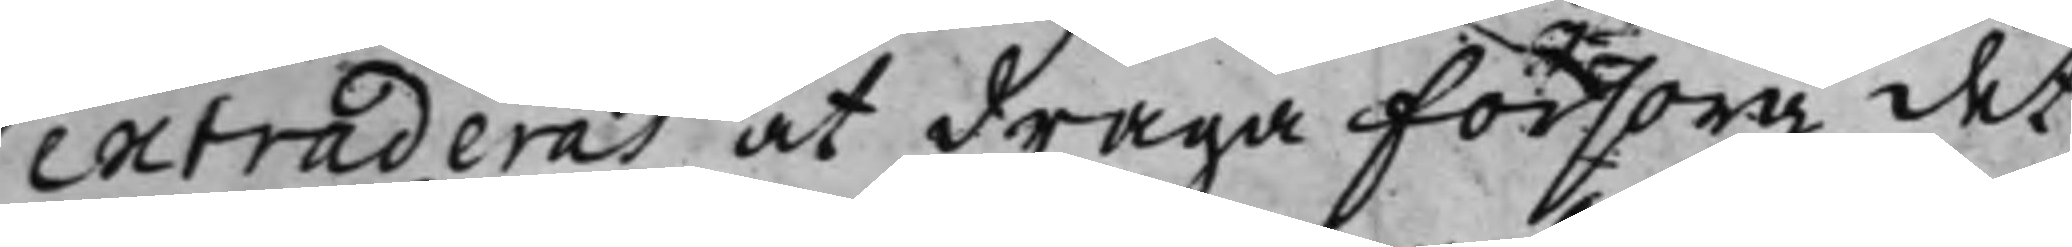extraderas at draga försorg, det
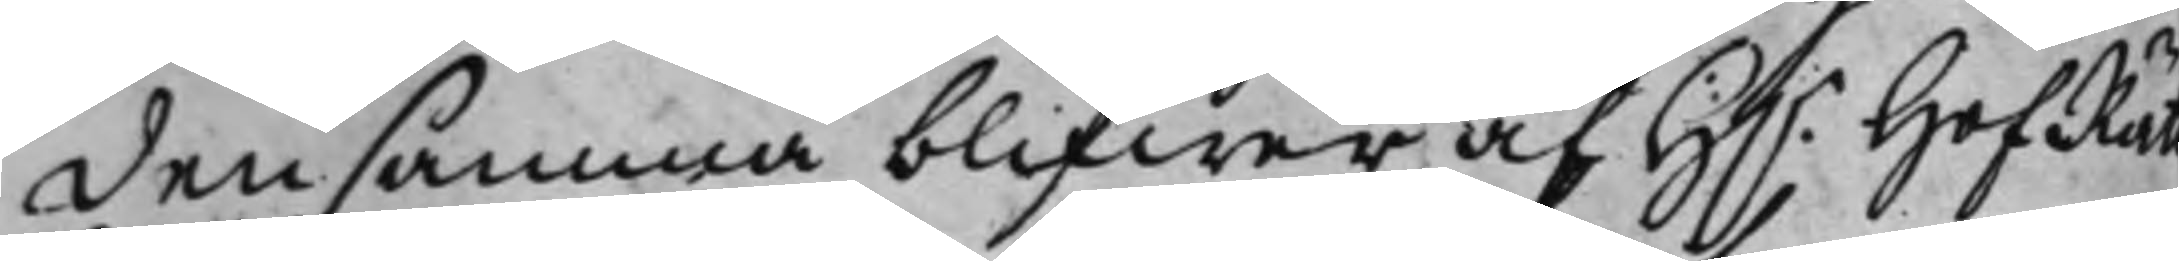densamma blifwer af H.r HofRät¬
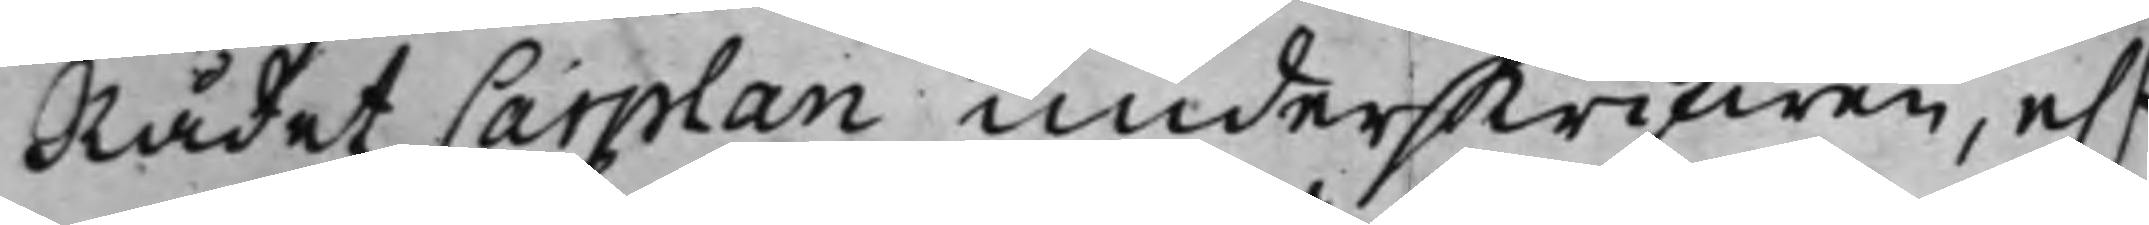Rådet Carplan underskrifwen, e.r
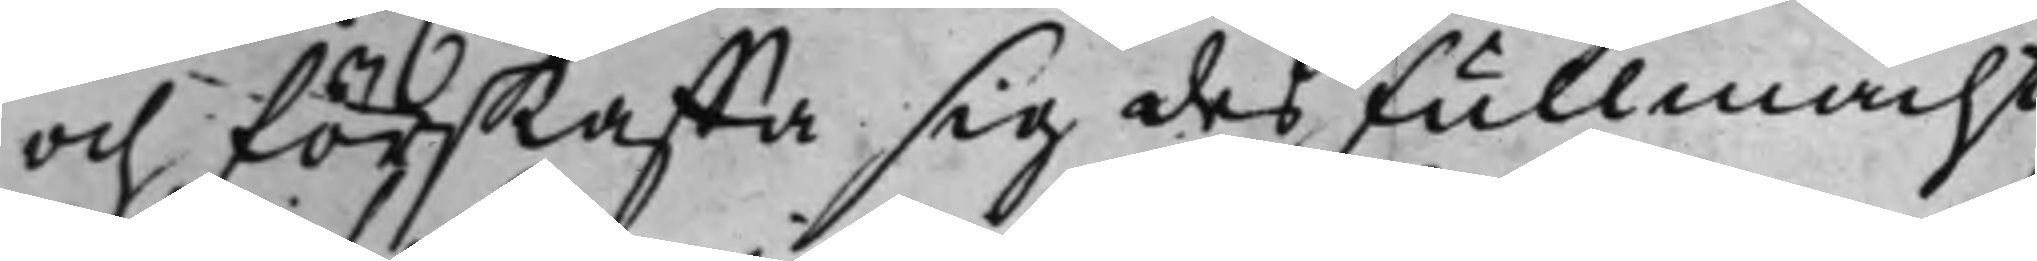och förskaffa sig des Fullmacht
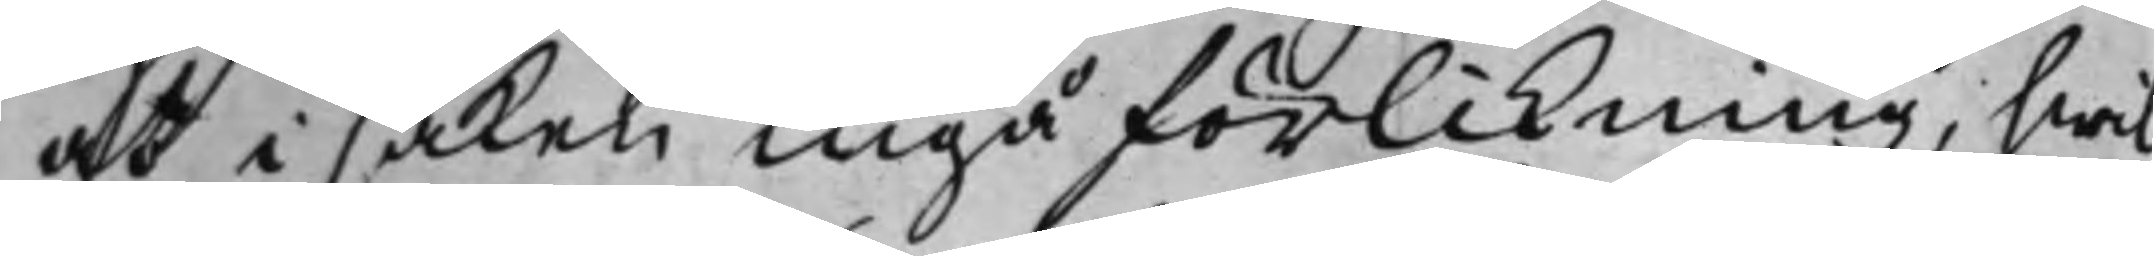at i saken ingå förlikning; hwil¬
